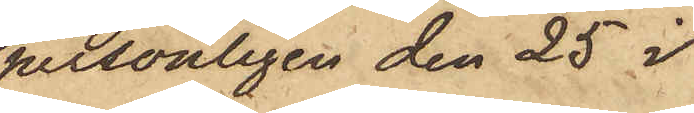personligen den 25 i
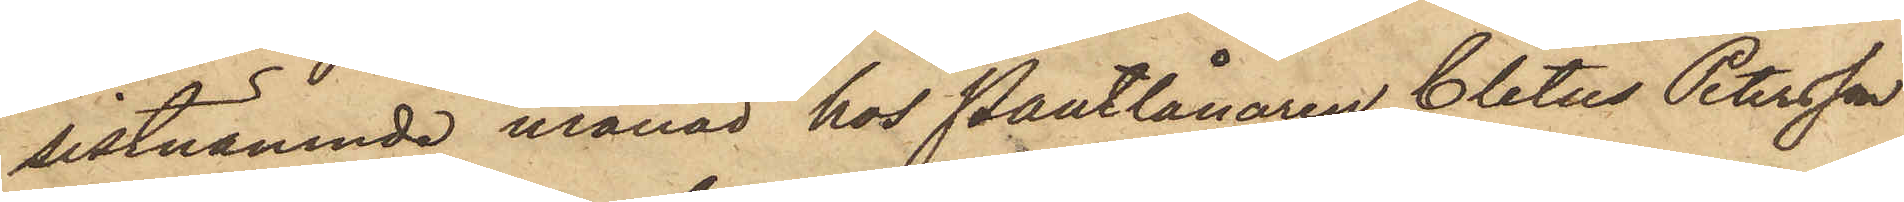sistnämnde månad hos Pantlånaren Cletus Petersson
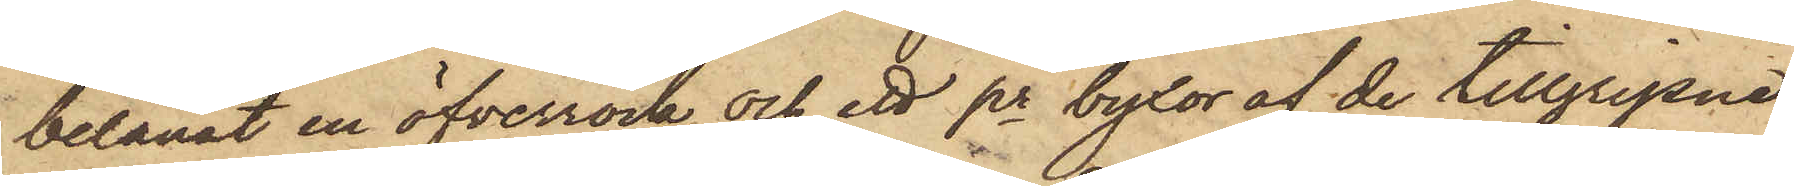belånat en öfverrock och ett pr byxor af de tillgripne
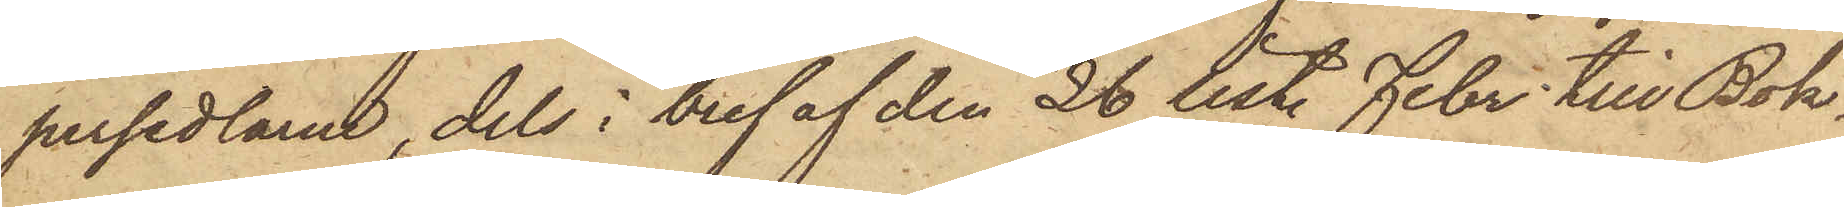persedlarne, dels i bref af den 26 sist. Febr. till Bok¬
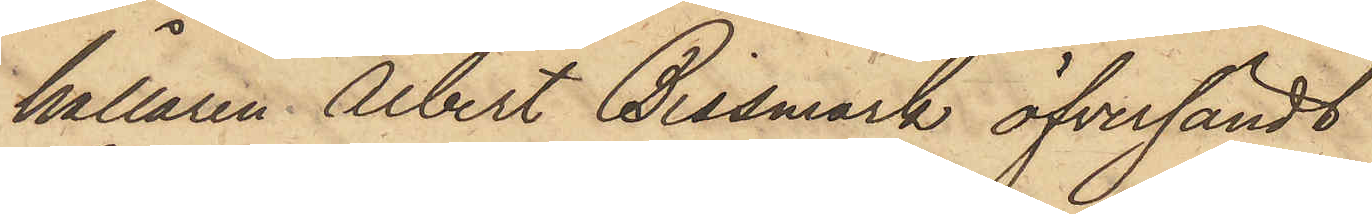hållaren Albert Bissmark öfversändt
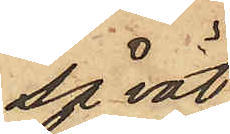så väl
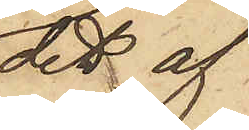det af
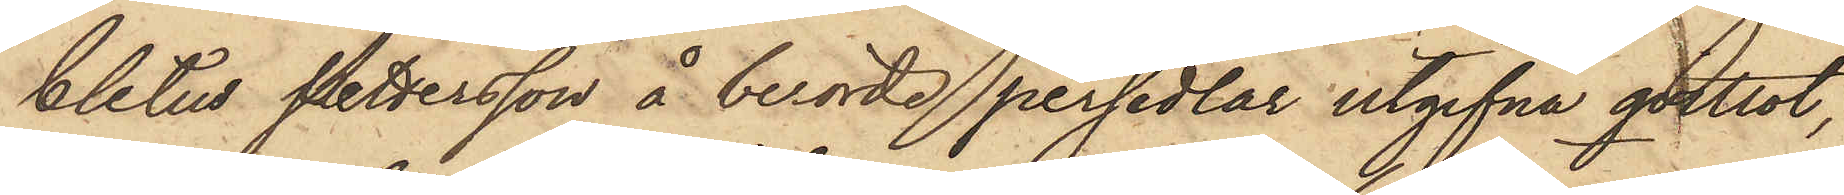Cletus Pettersson å berörde persedlar utgifna qvittot,
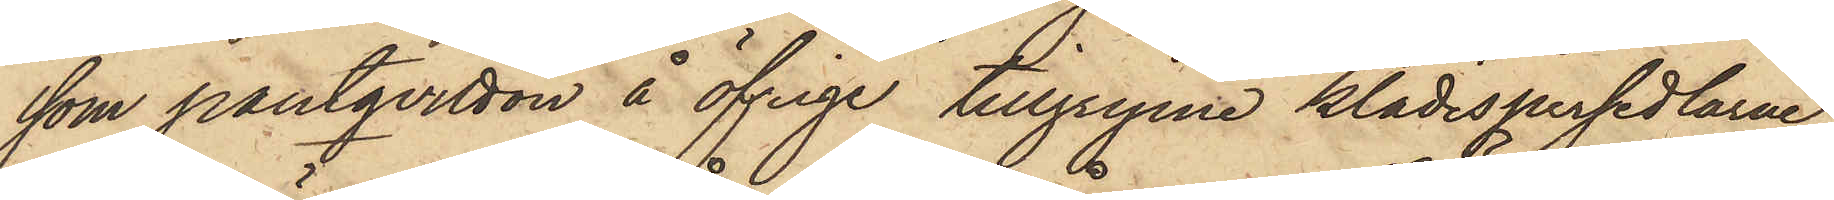som pantqvitton å öfriga tillgripne klädespersedlarne,
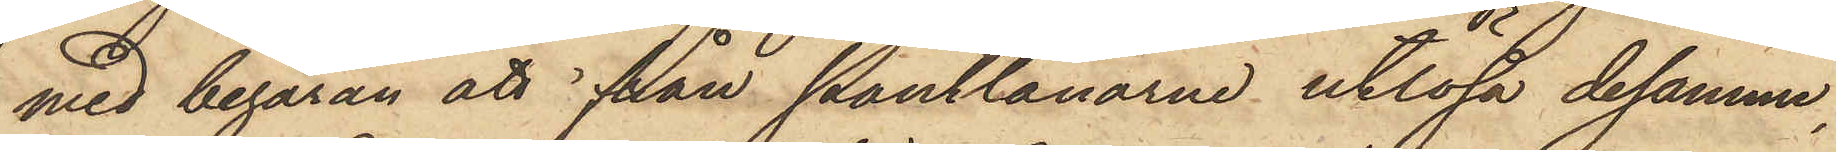med begäran att från Pantlånarne utlösa desamma,
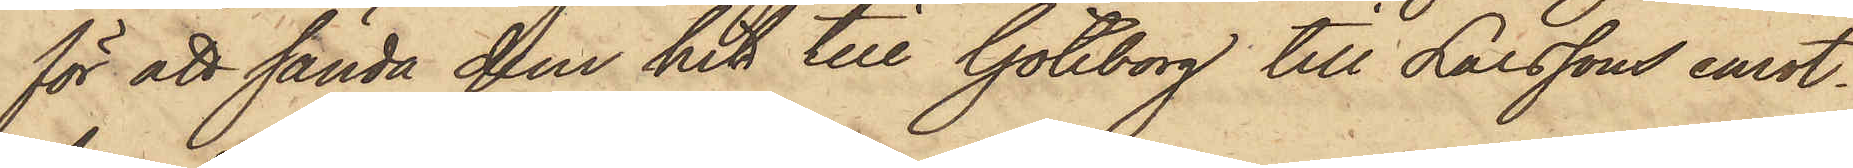för att sända dem hit till Göteborg till Larssons emot¬
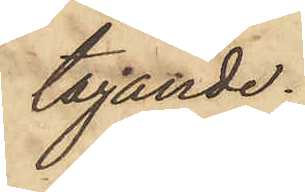tagande.
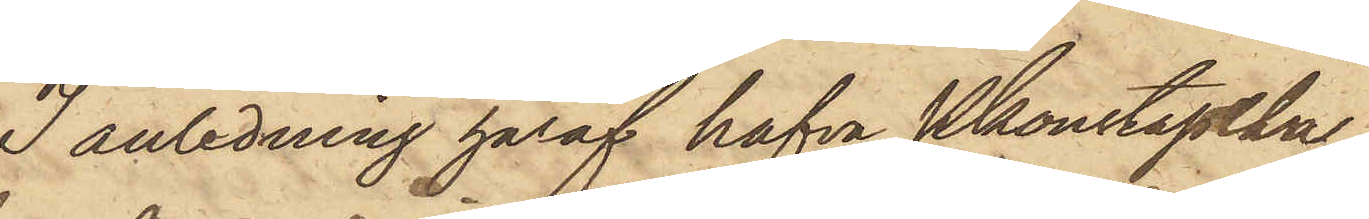I anledning häraf hafva Pkonstapel
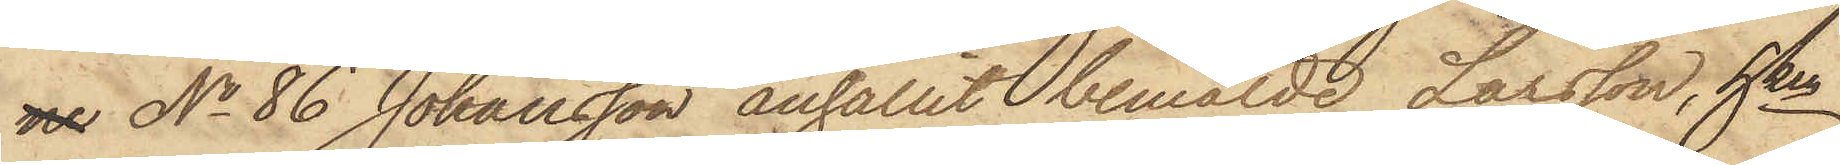ne No 86 Johansson anhållit bemälde Larsson, hken
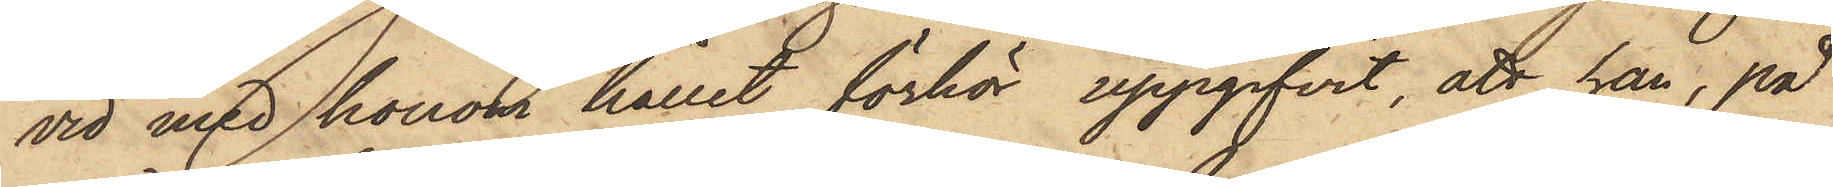vid med honom hållit förhör uppgifvit, att han, på
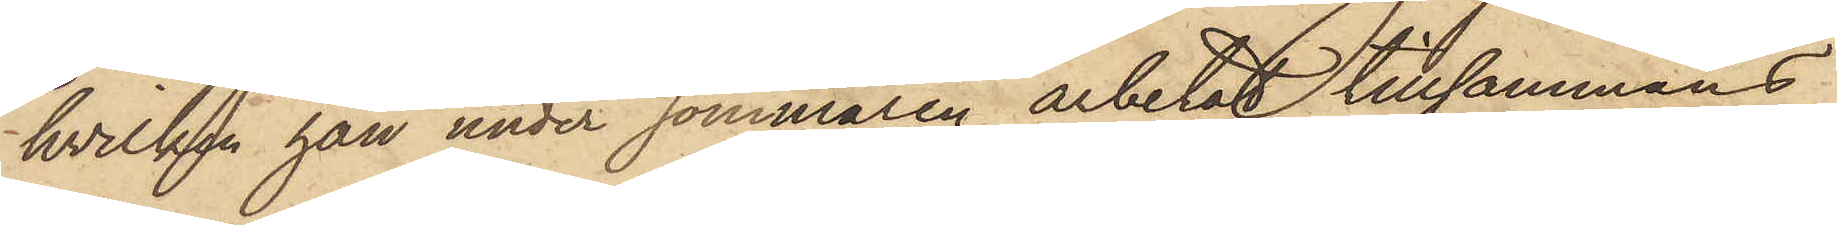hvilken han under sommaren arbetat tillsammans
